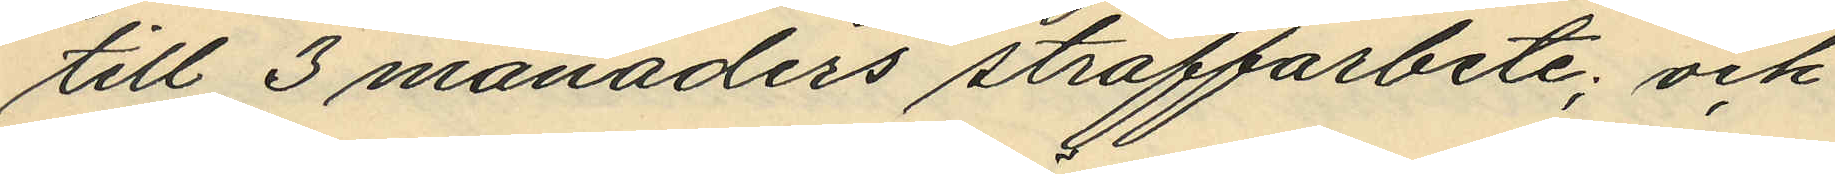till 3 månaders straffarbete; och
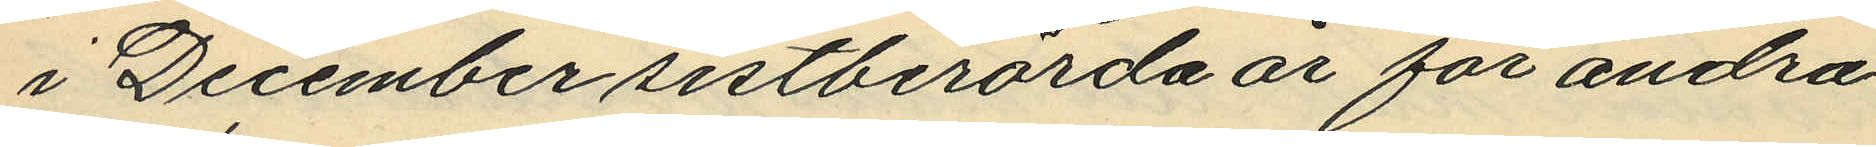i December sistberörda år för andra
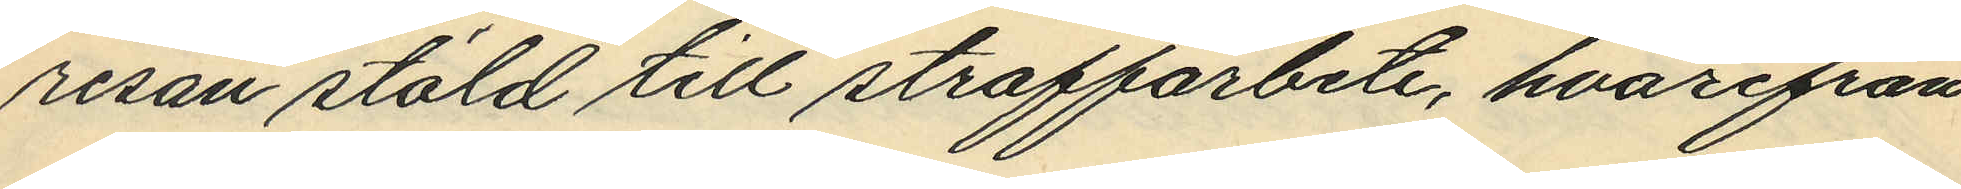resan stöld till straffarbete, hvarifrån
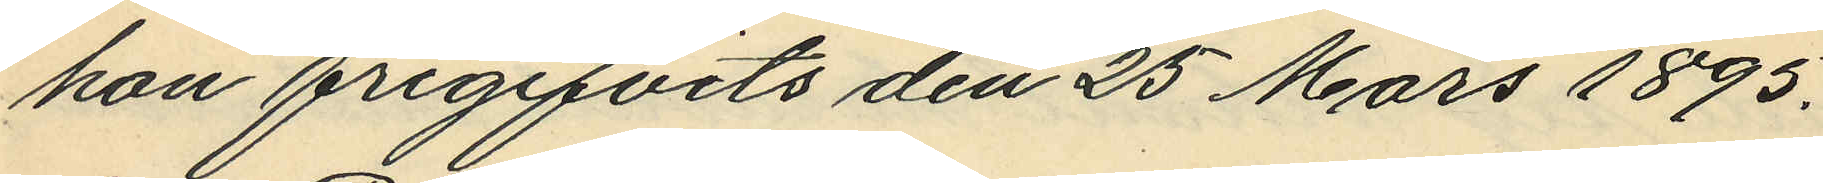hon frigifvits den 25 Mars 1895.
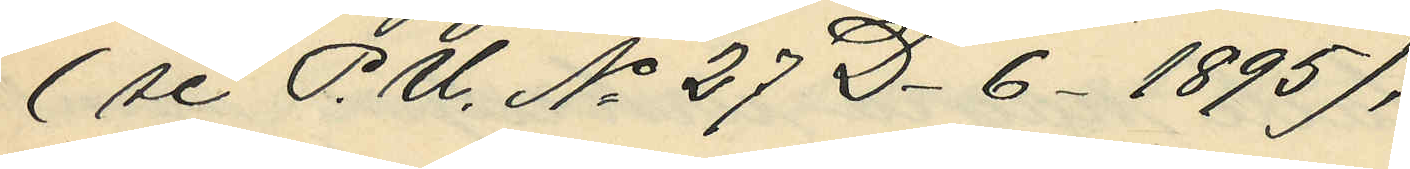(se P. U. No 27 D-6-1895),
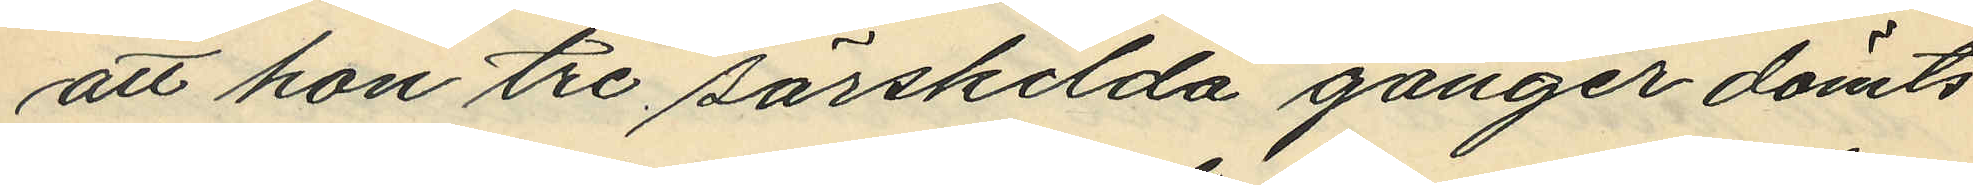att hon tre särskilda gånger dömts
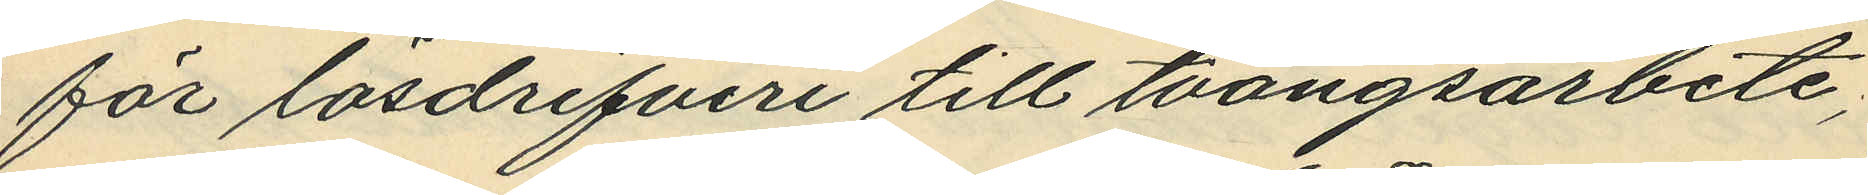för lösdrifveri till tvångsarbete,
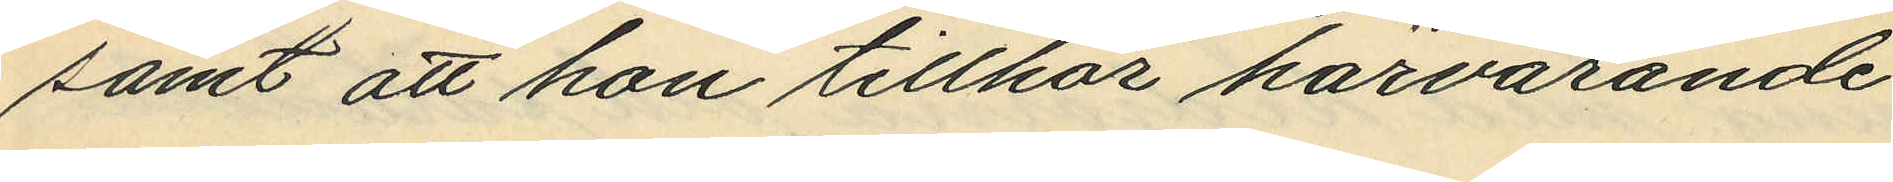samt att hon tillhör härvarande
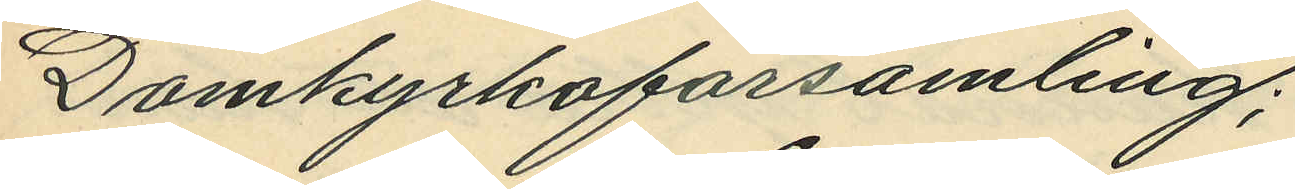Domkyrkoförsamling;
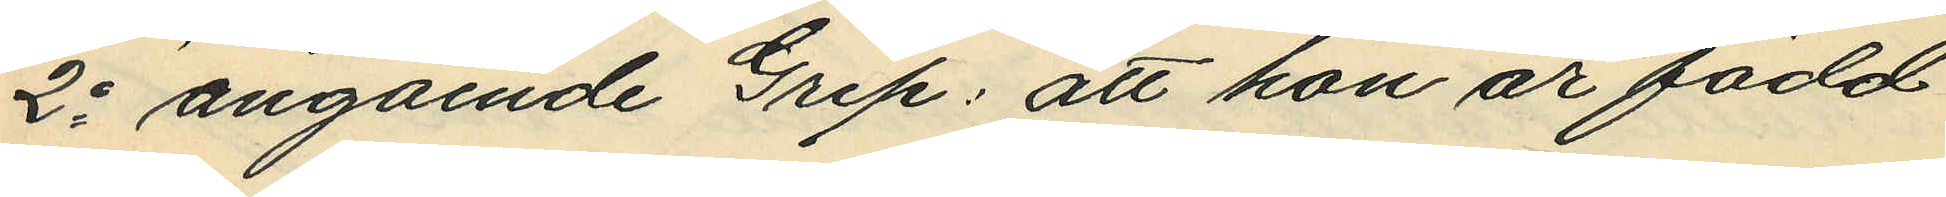2o angående Grip: att hon är född
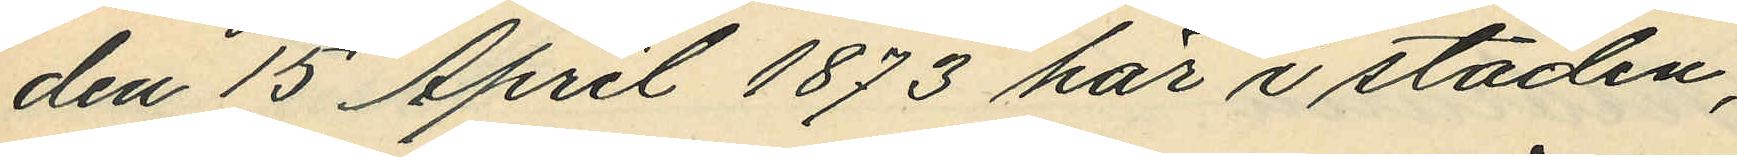den 15 April 1873 här i staden;
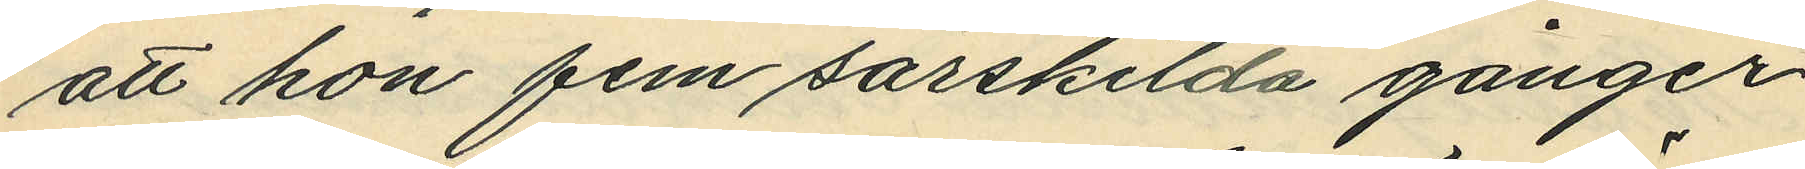att hon fem särskilda gånger
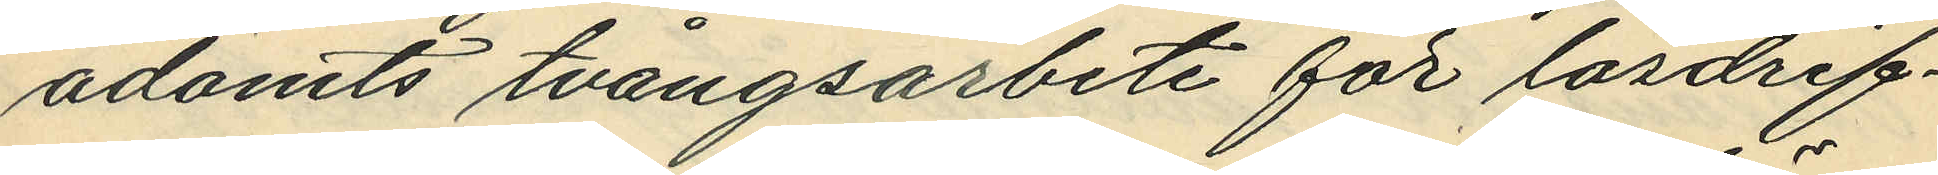ådömts tvångsarbete för lördrif¬
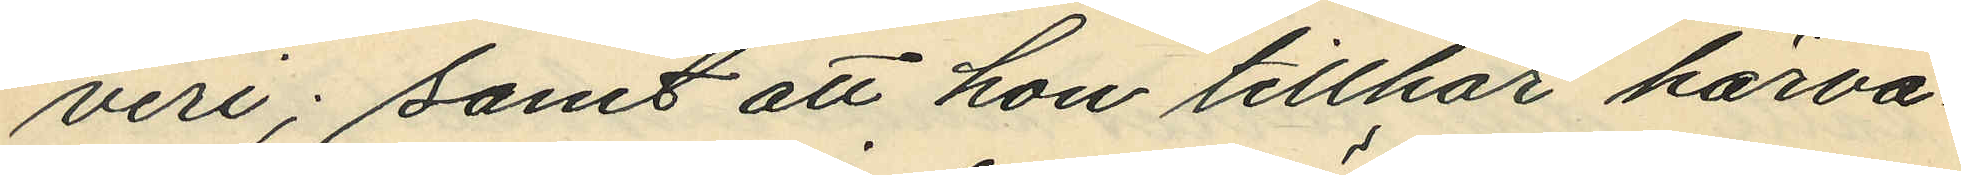veri; samt att hon tillhör härva¬
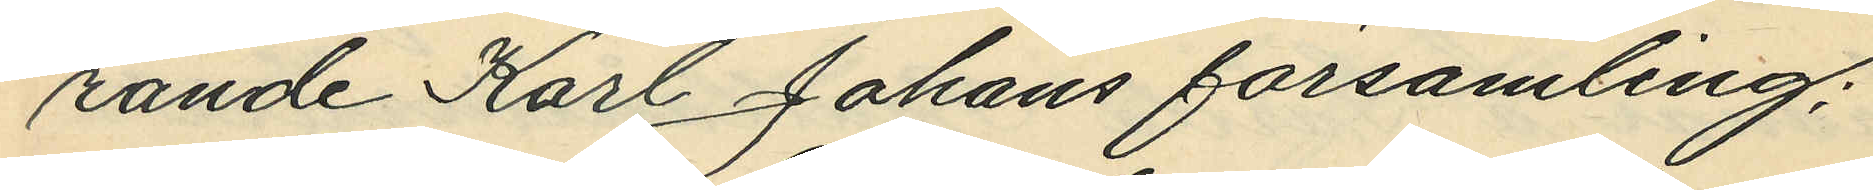rande Karl Johans församling;
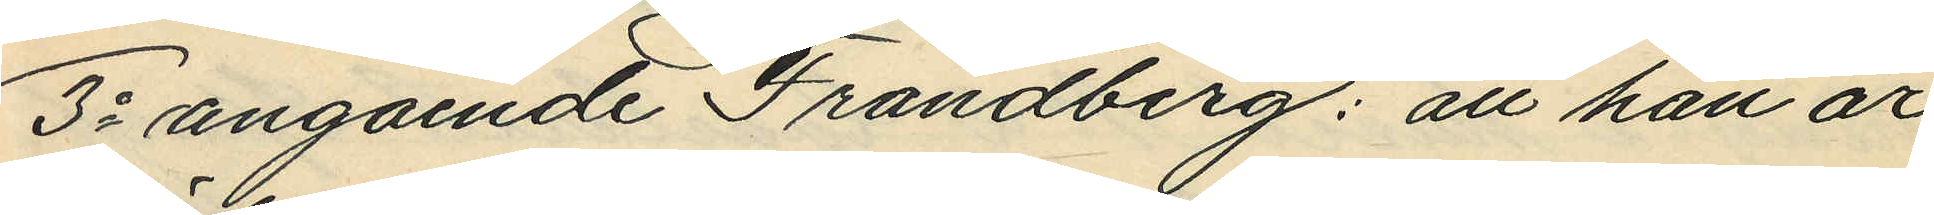3o angående Frändberg: att han är
